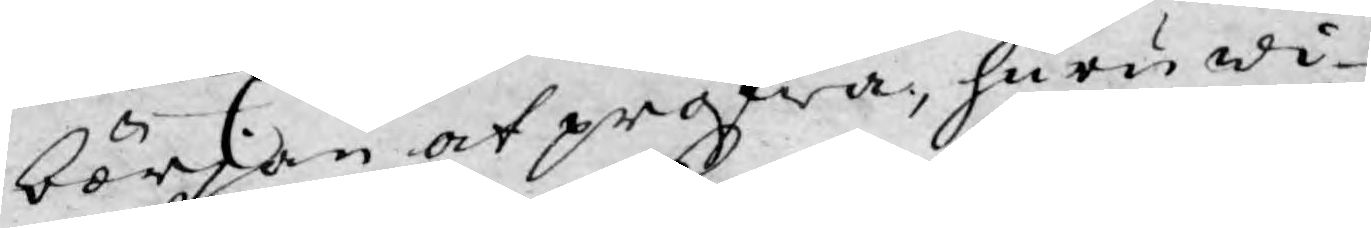början at pröfwa, huru wi¬
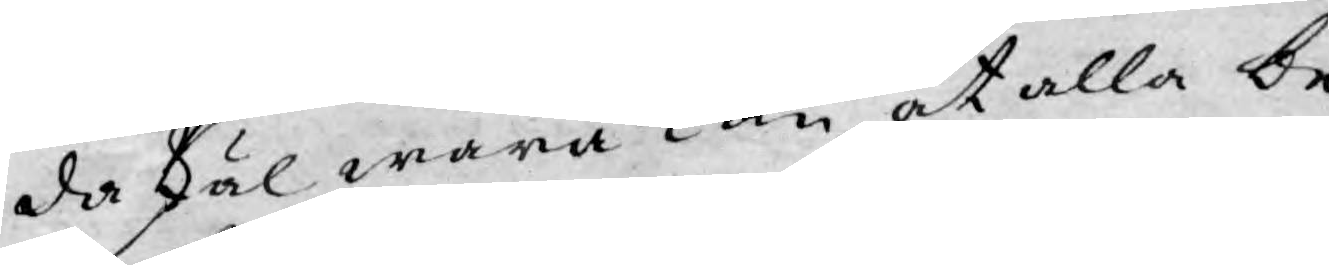da skäl wara Kan, at alla be¬
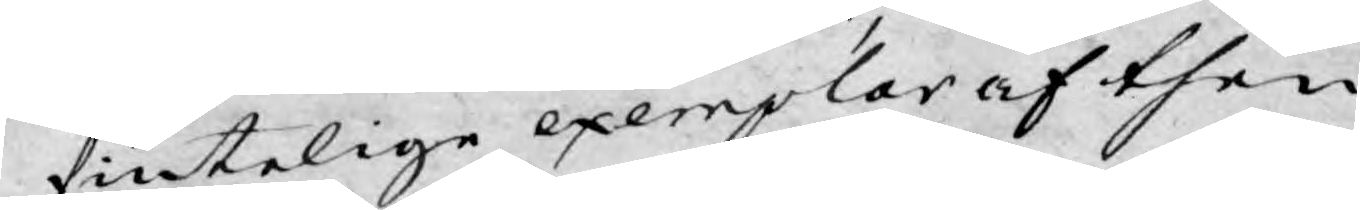fintelige exemplar af then
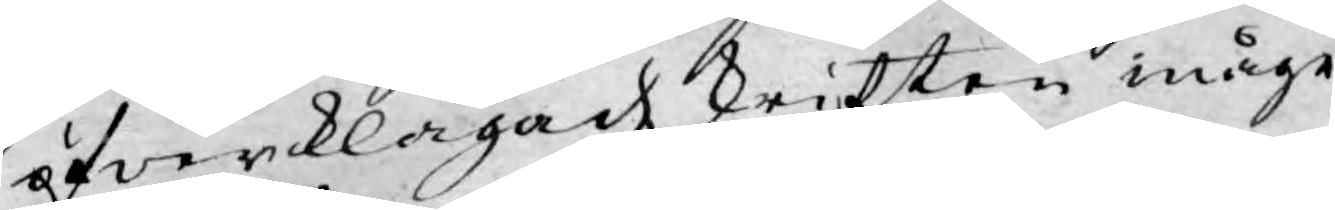öfwerklagade skriften måge
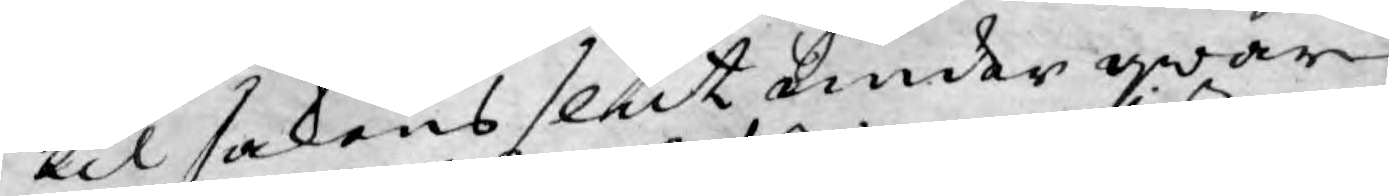til sakens slut under qwar¬
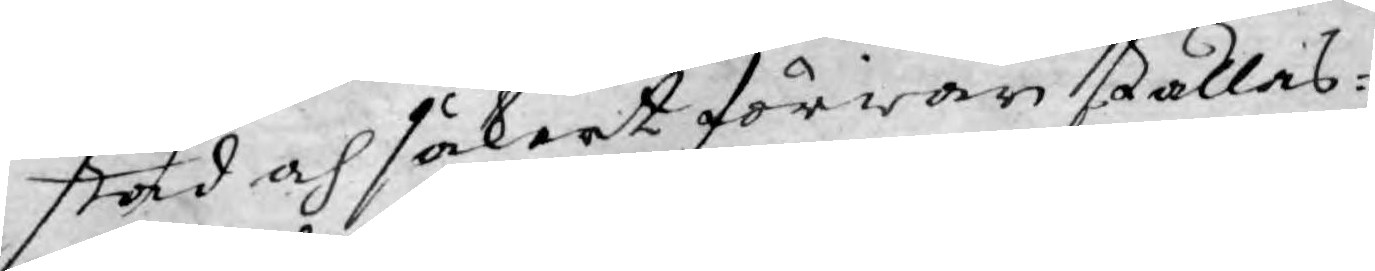stad och säkert förwar ställas:
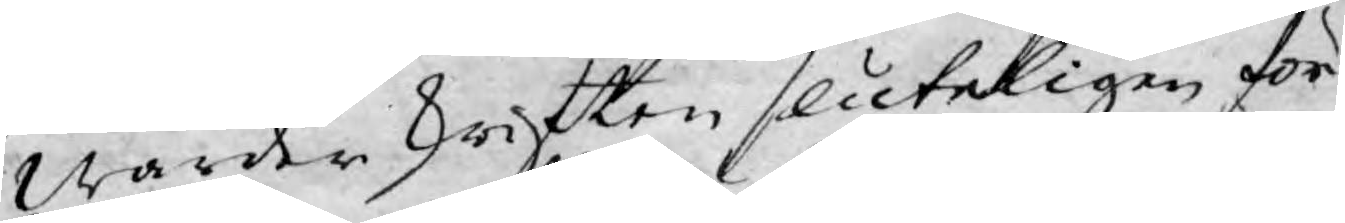warder skriften sluteligen för
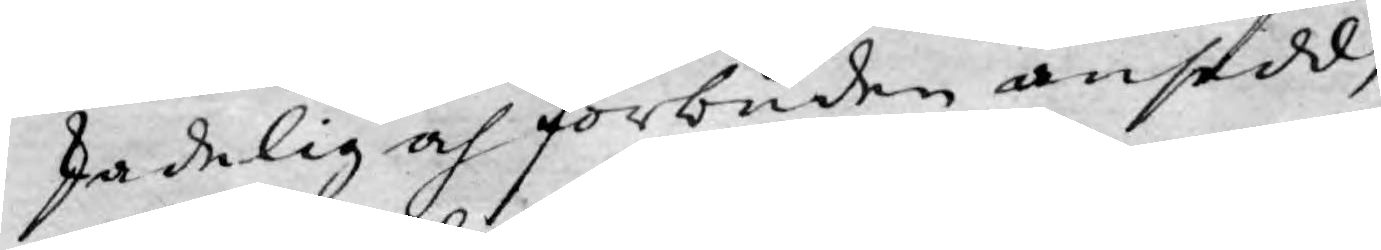skadelig och förbuden ansedd,
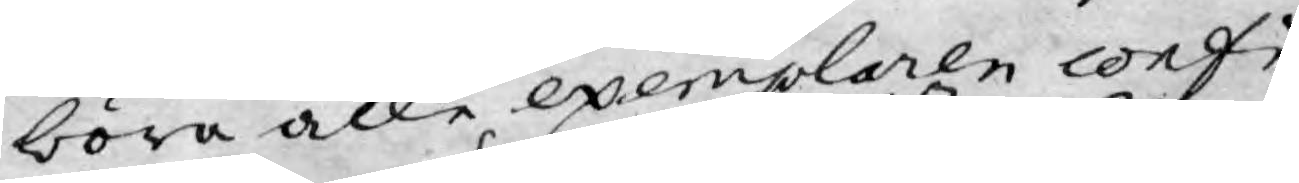böra alle exemplaren confi¬
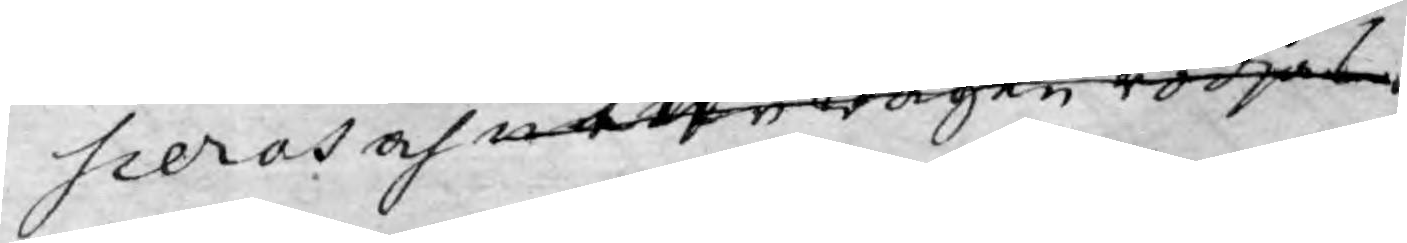sceras och utur wägen rödjas
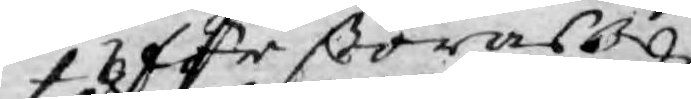förstöras.
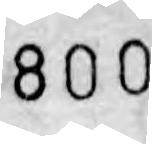800
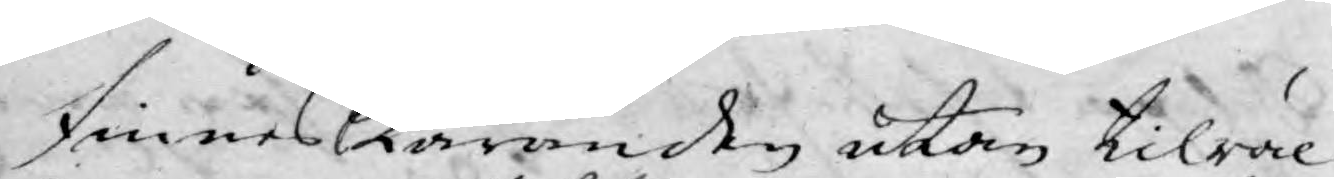finnes åter Käranden utan tilräc¬
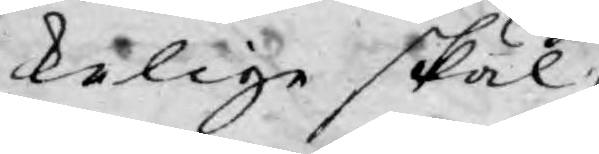kelige skäl.
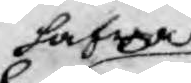hafwa
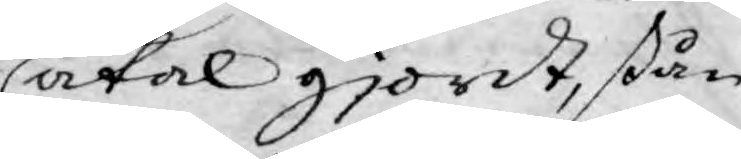åtal gjordt, stån¬
